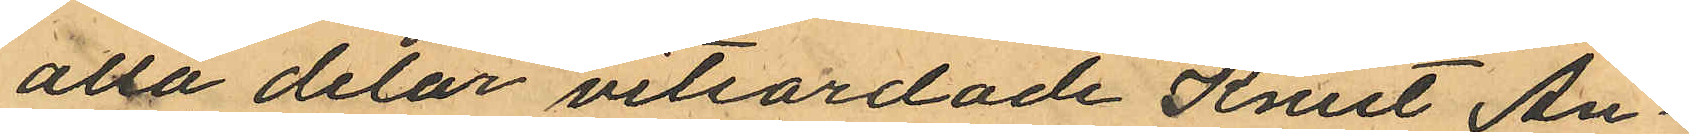alla delar vitsordade Knut An¬
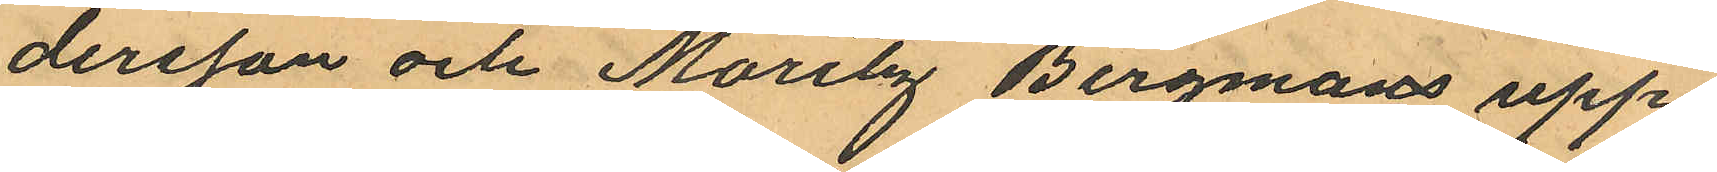dersson och Maritz Bergmans upp¬
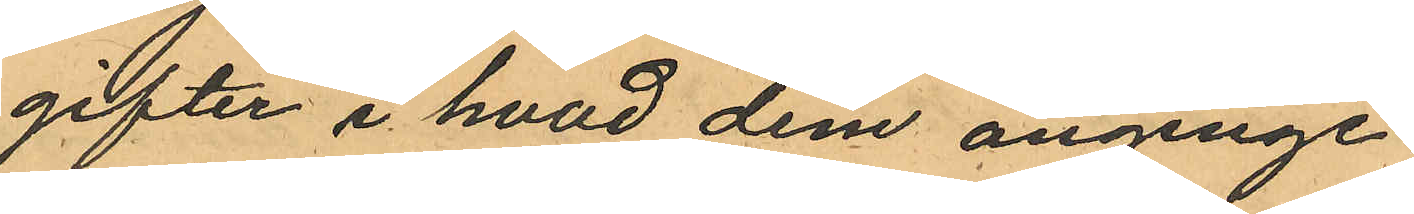gifter i hvad dem anginge.
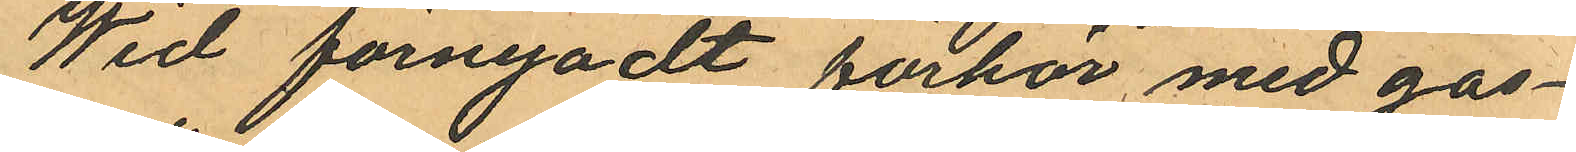Wid förnyadt förhör med gos¬
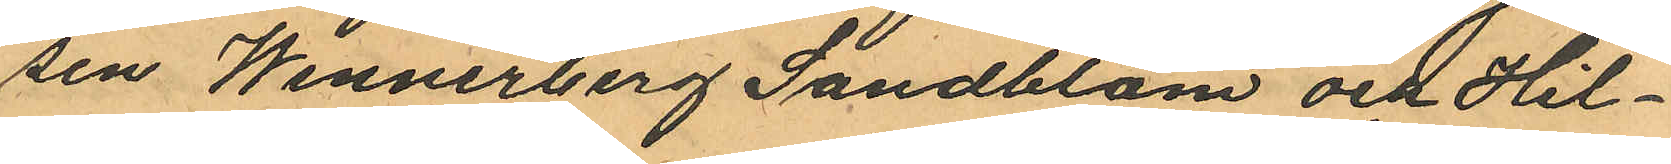sen Wennerberg Sandblom och Hil¬
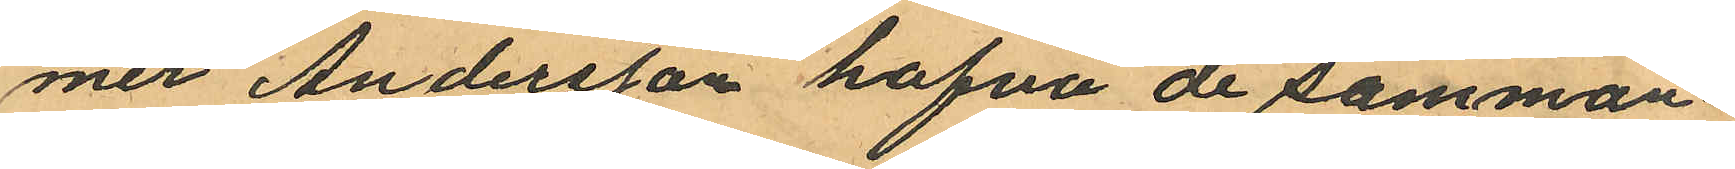mer Andersson hafva de samman¬
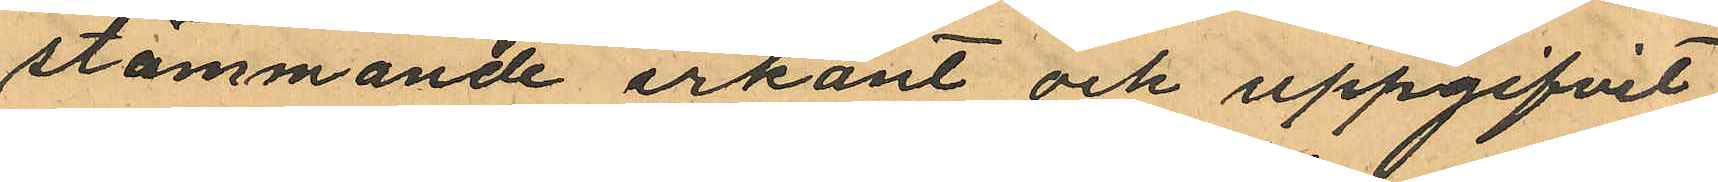stämmande erkänt och uppgifvit,
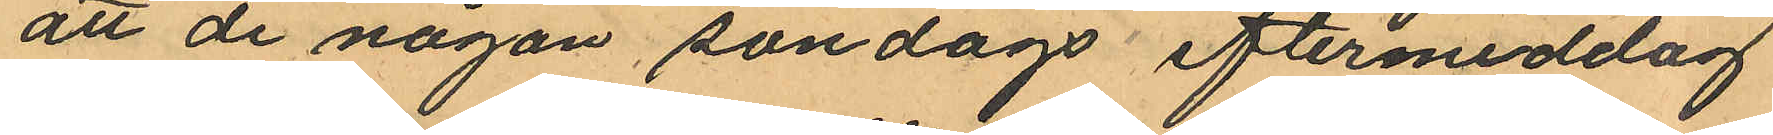att de någon söndags eftermiddag
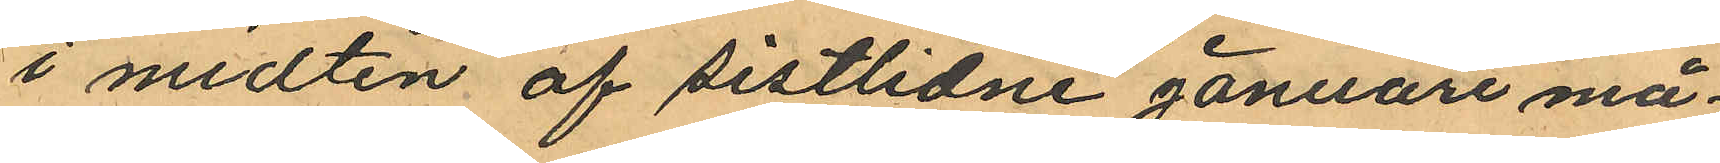i midten af sistlidne januari må¬
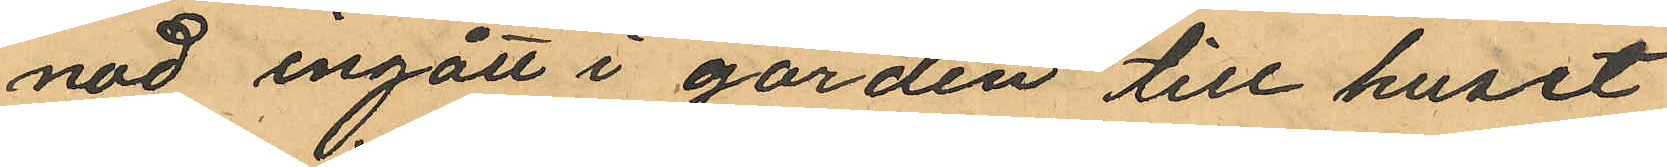nad ingått i gården till huset
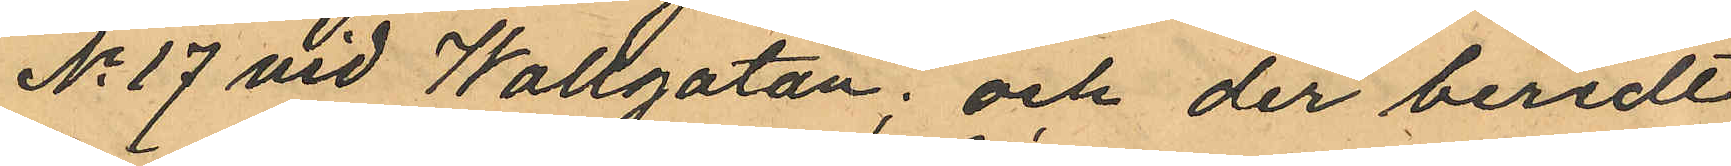No 17 vid Wallgatan; och der beredt
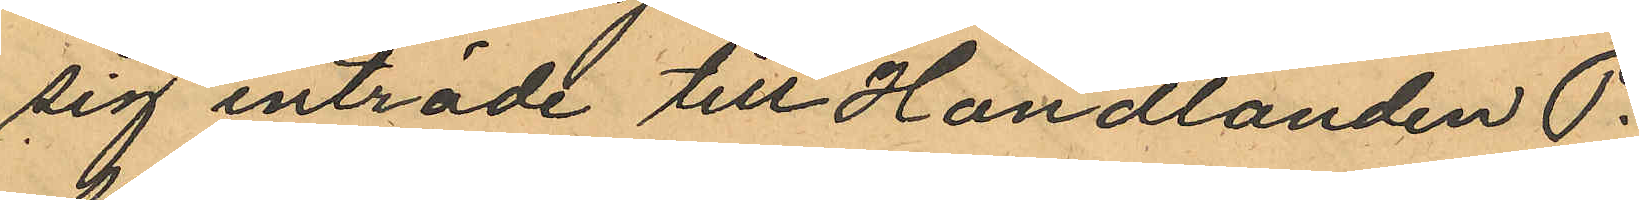sig inträde till Handlanden P.
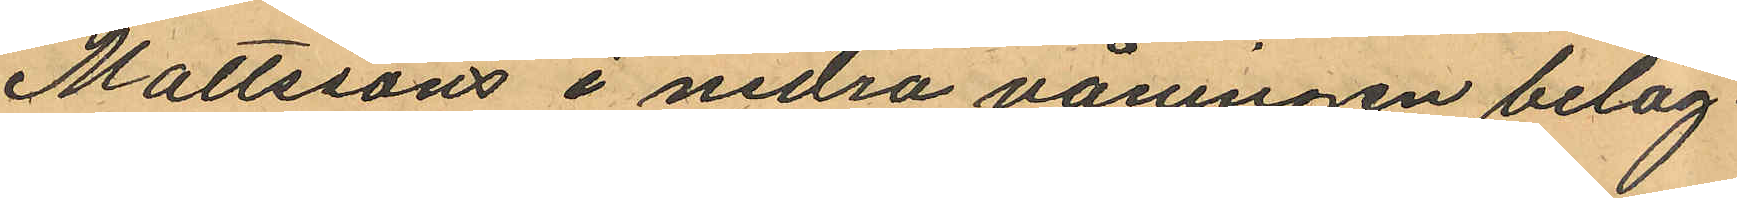Mattssons i nedra våningen beläg¬
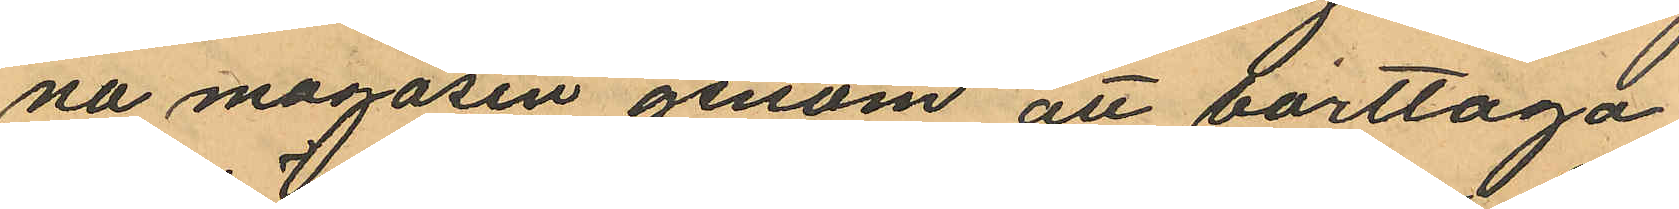na magasin genom att borttaga
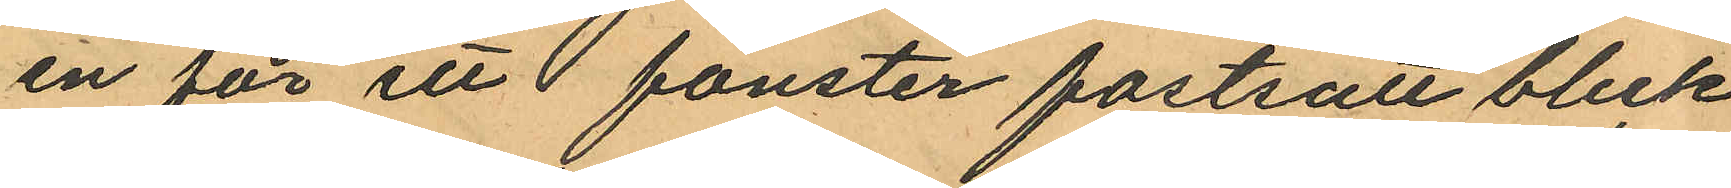en för ett fönster fastsatt bleck
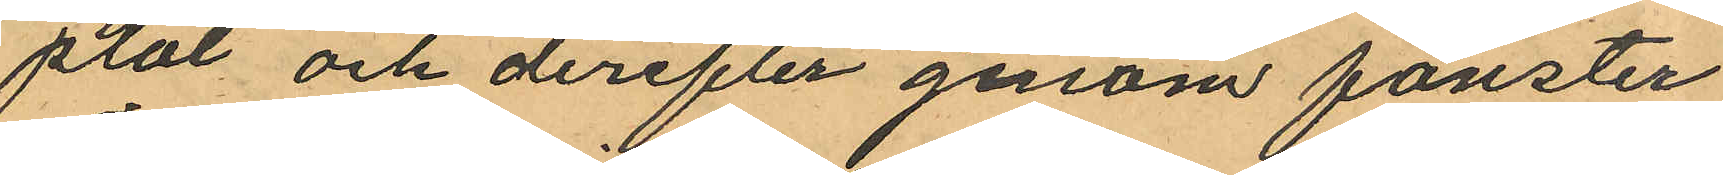plåt och derefter genom fönster
